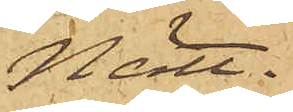Nätt.
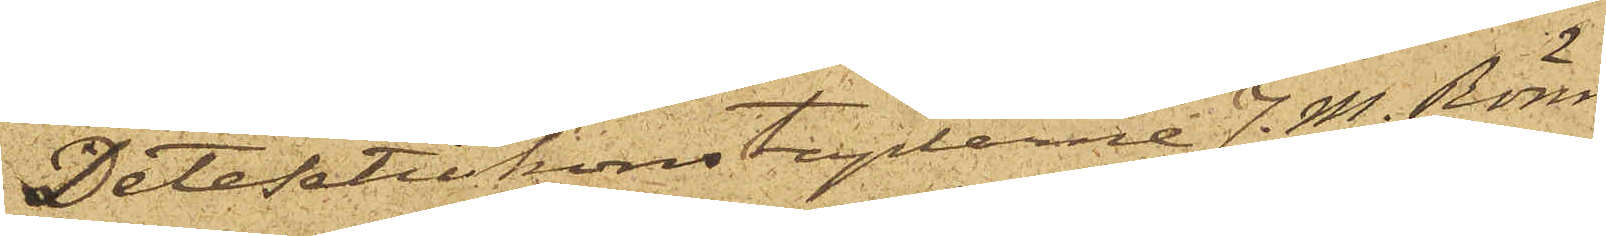Detektivkonstaplarne J. M. Rönn¬
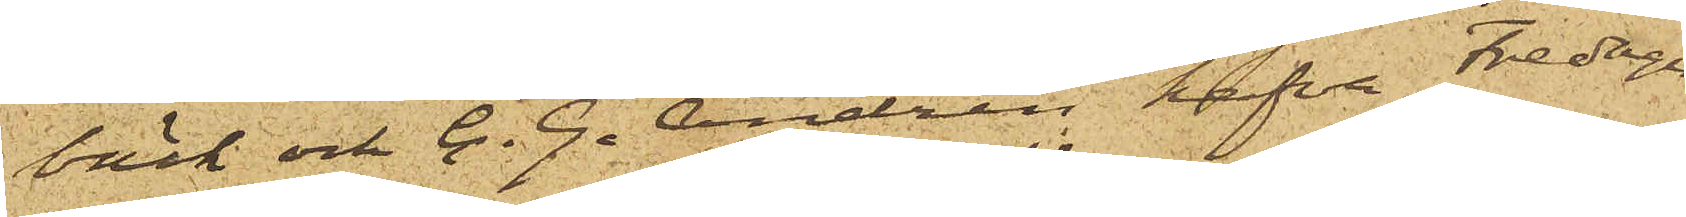bäck och C. G. Andrén hafva Fredagen
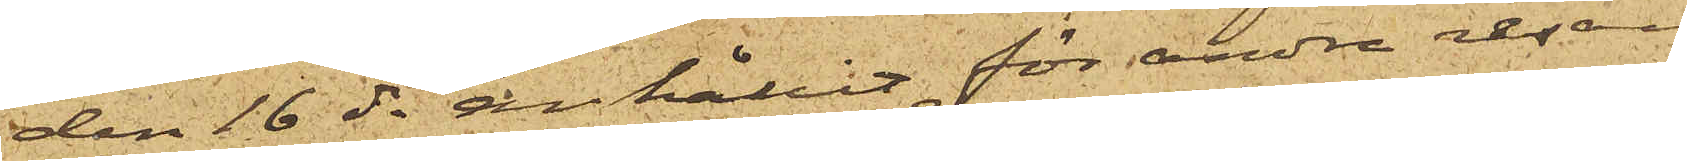den 16 ds anhållit för andra resan
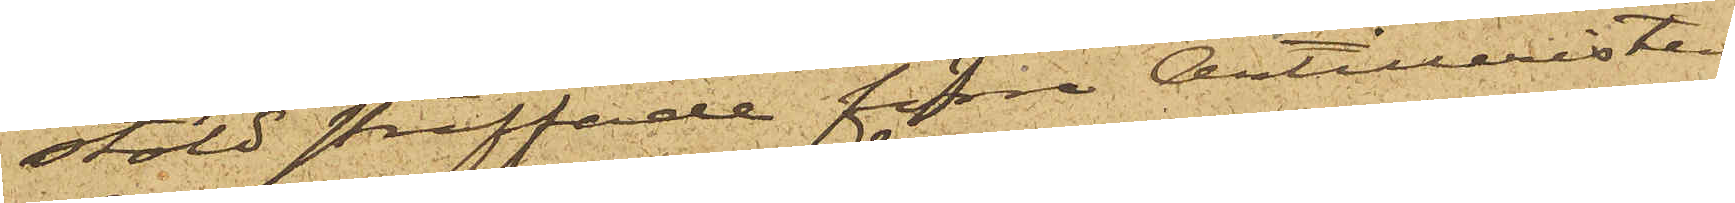stöld straffade förre Artilleristen
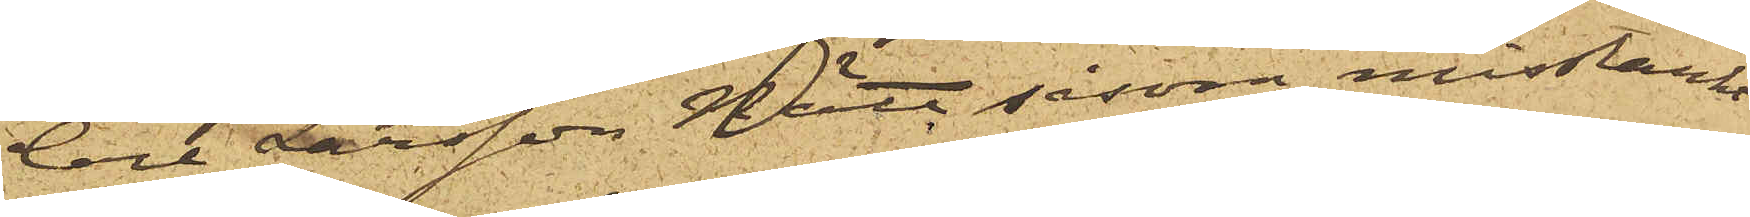Carl Larsson Nätt såsom misstänkt
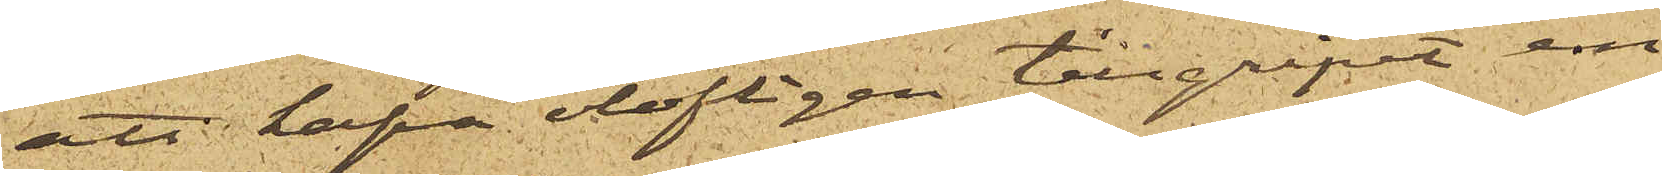att hafva olofligen tillgripit en
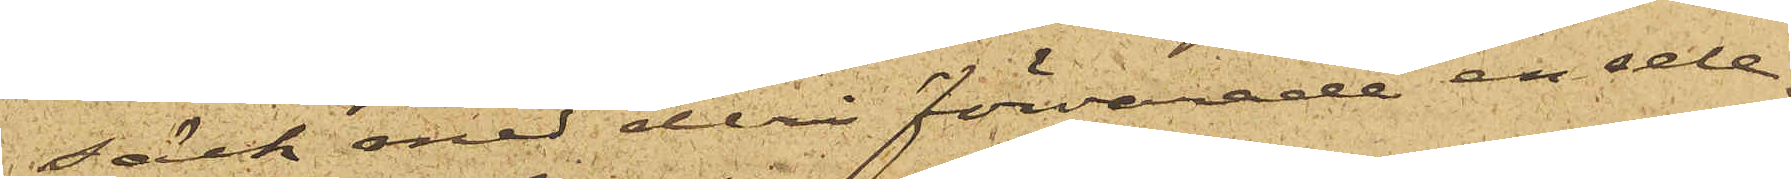säck med deri förvarade en sele
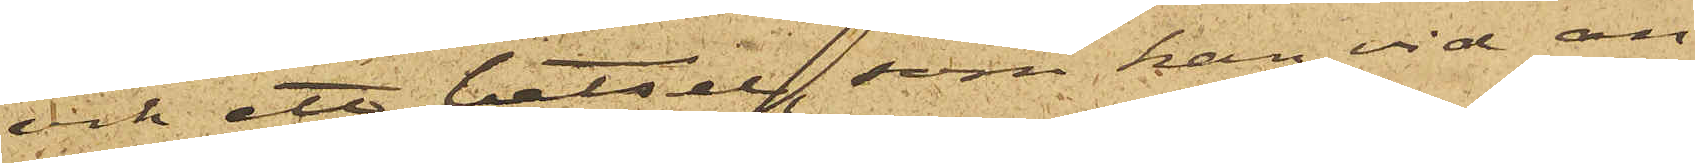och ett betsel, som han vid an¬
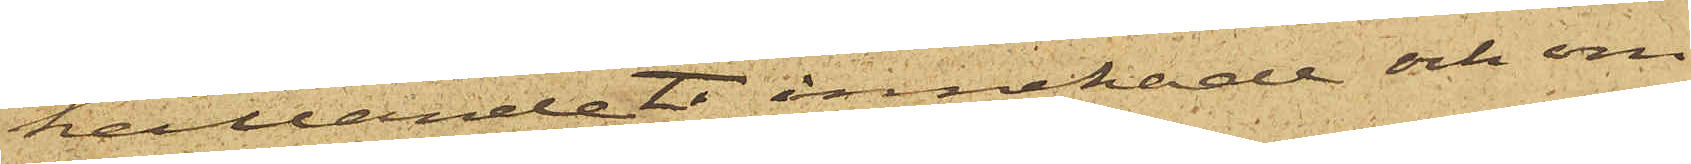hållandet innehade och om
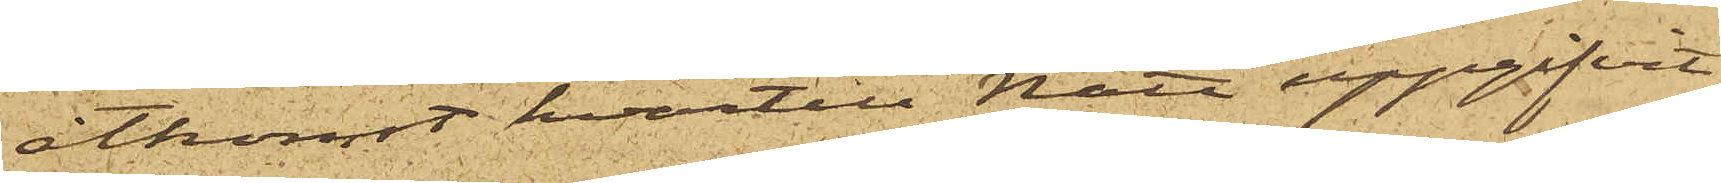åtkomst hvartill Nätt uppgifvit
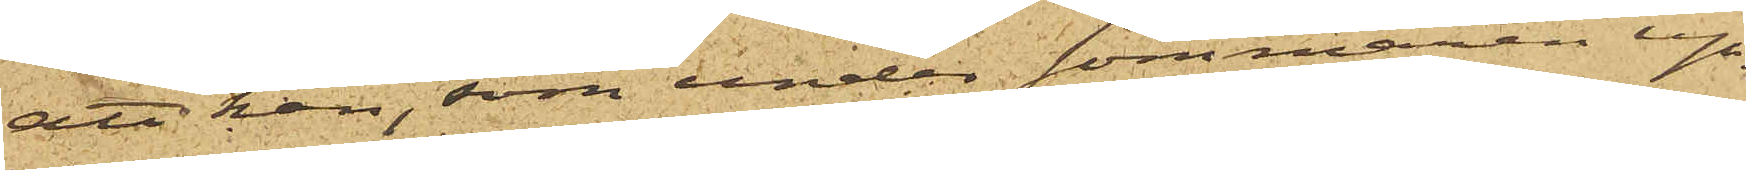att han, som under sommaren up¬
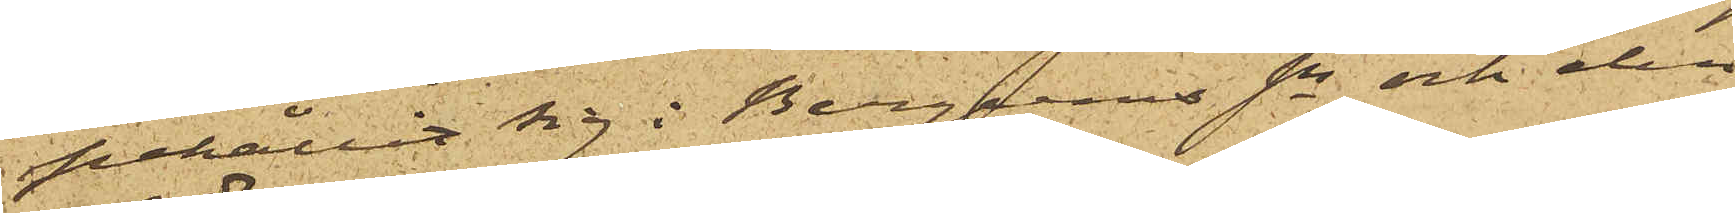pehållit sig i Bergums sn och den
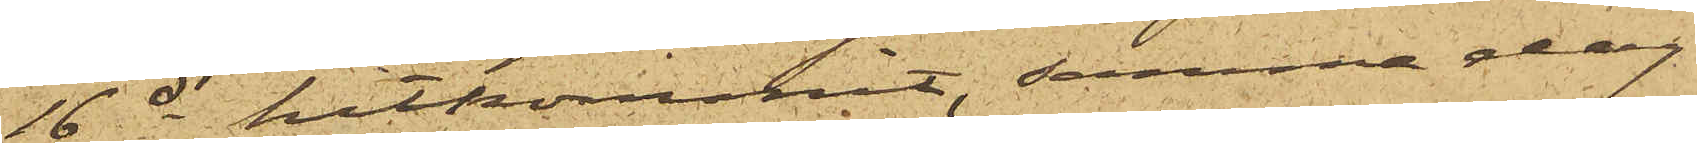16 ds hitkommmit, samma dag
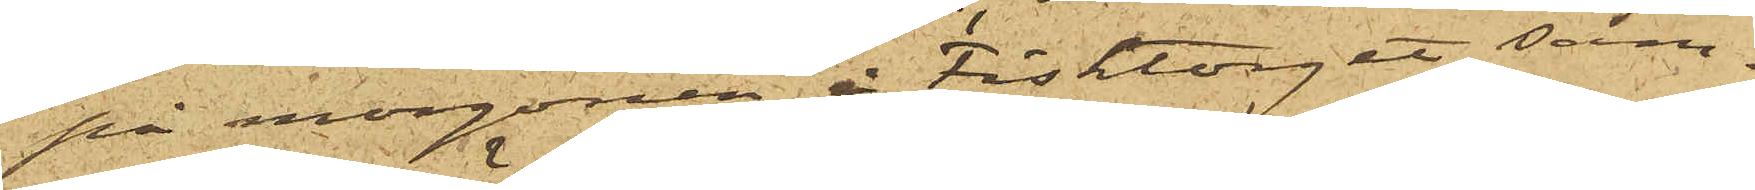på morgonen å Fisktorget sam¬
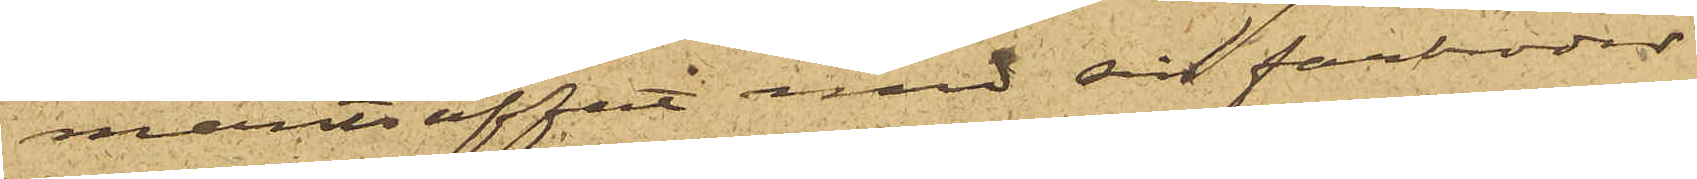manträffat med sin farbroder
